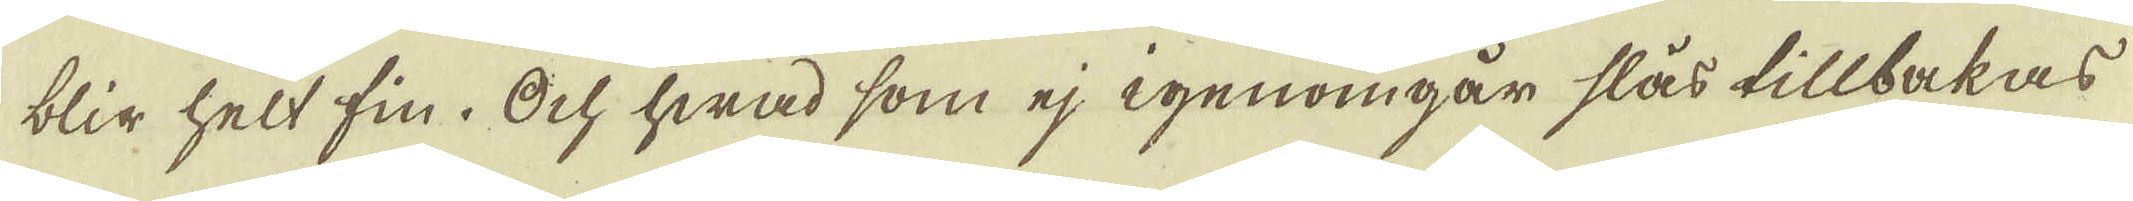blir helt fin. Och hwad som ej igenomgår slås tillbakas
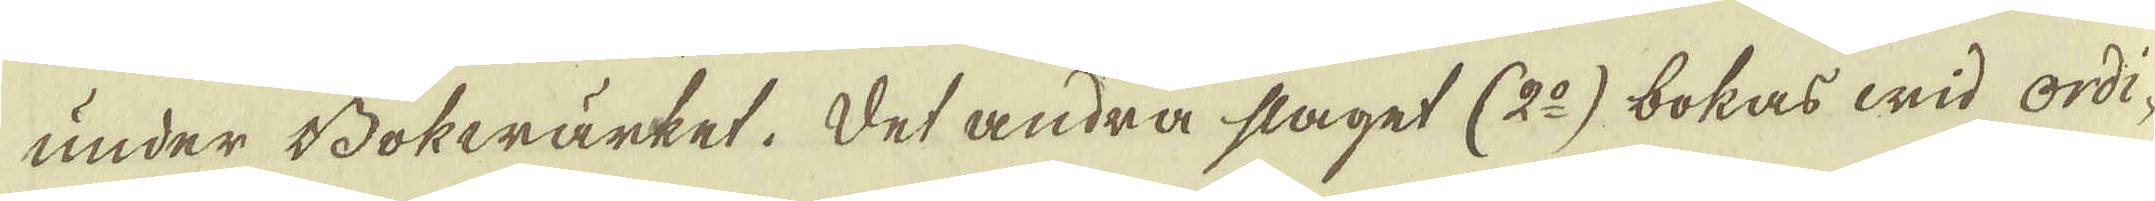under Bokwärket. Det andra slaget (2:o) bokas wid ordi-
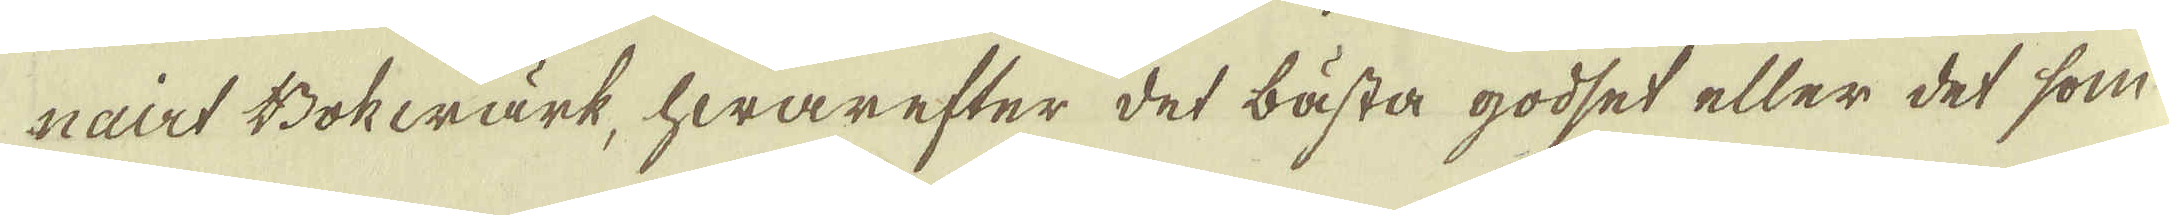nairt Bokwärk, hwarefter det bästa godset eller det som
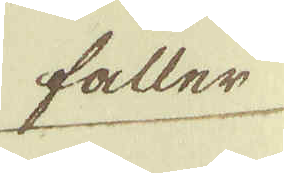faller
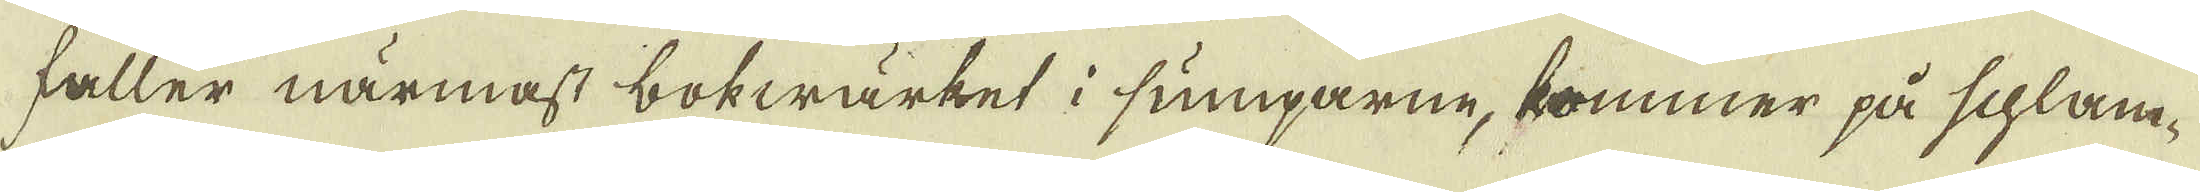faller närmast bokwärket i sumparne, kommer på schlam-
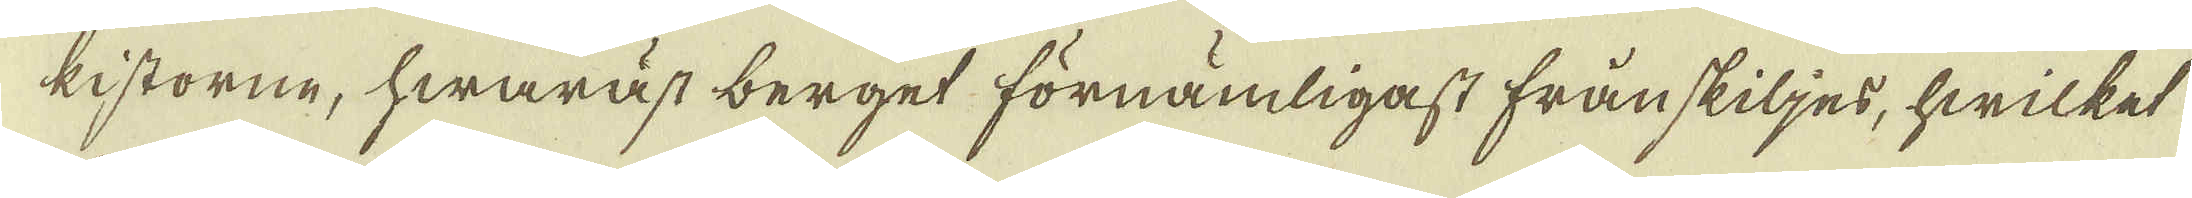kistorne, hwaräst berget förnämligast frånskiljes, hwilket
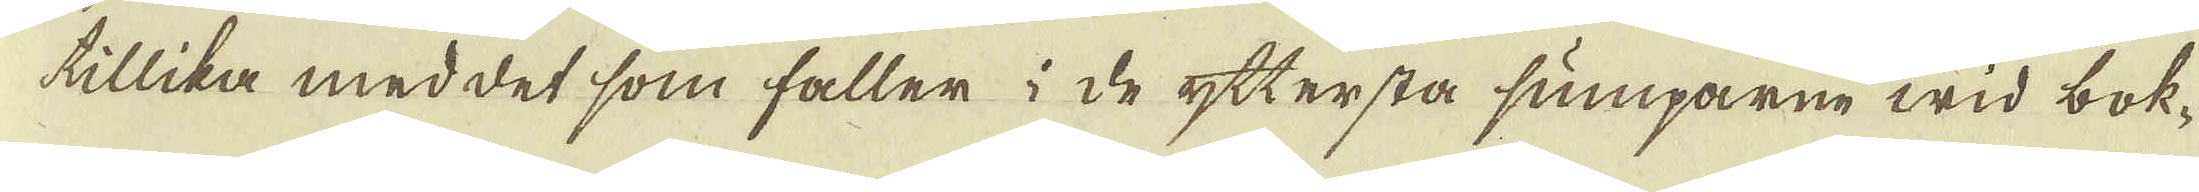tillika med det som faller i de yttersta sumparne wid bok-
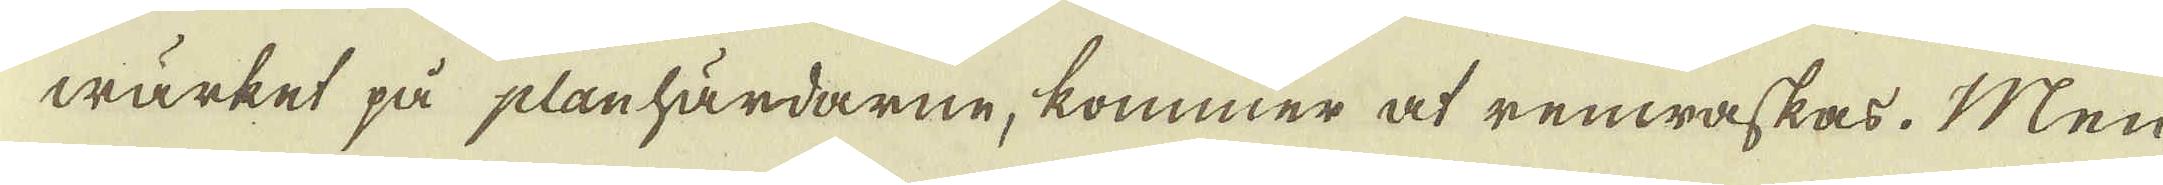wärket på planhärdarne, kommer at renwaskas. Men
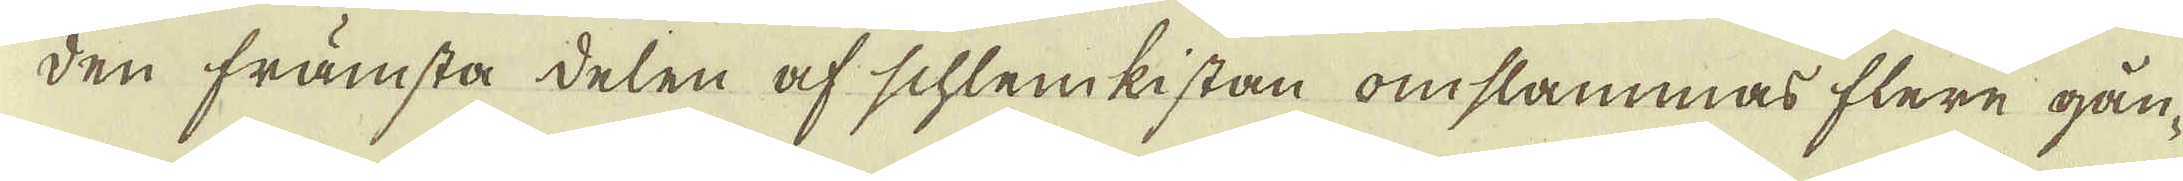den främsta delen af schlemkistan omslammas flere gån-
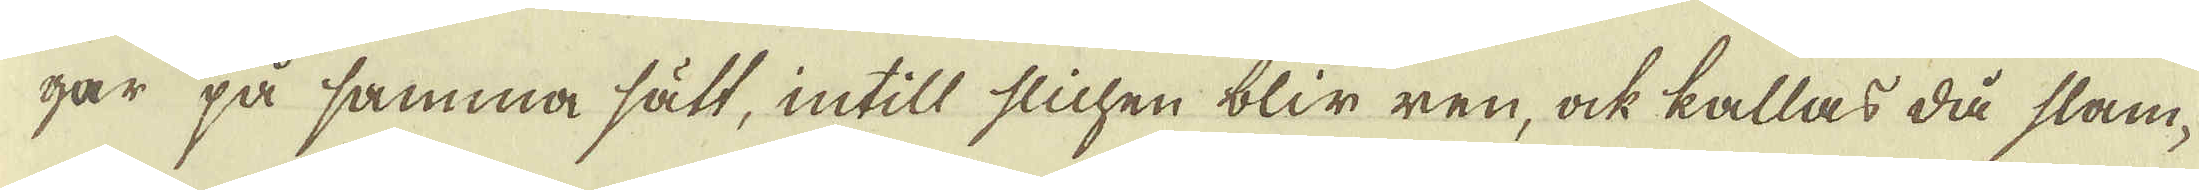gar på samma sätt, intill slichen blir ren, ock kallas då slam-
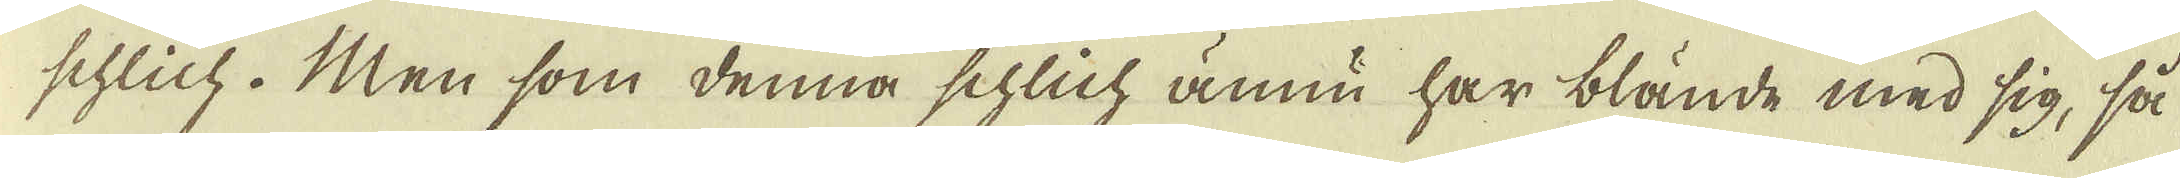schlich. Men som denna schlich ännu har blände med sig, så
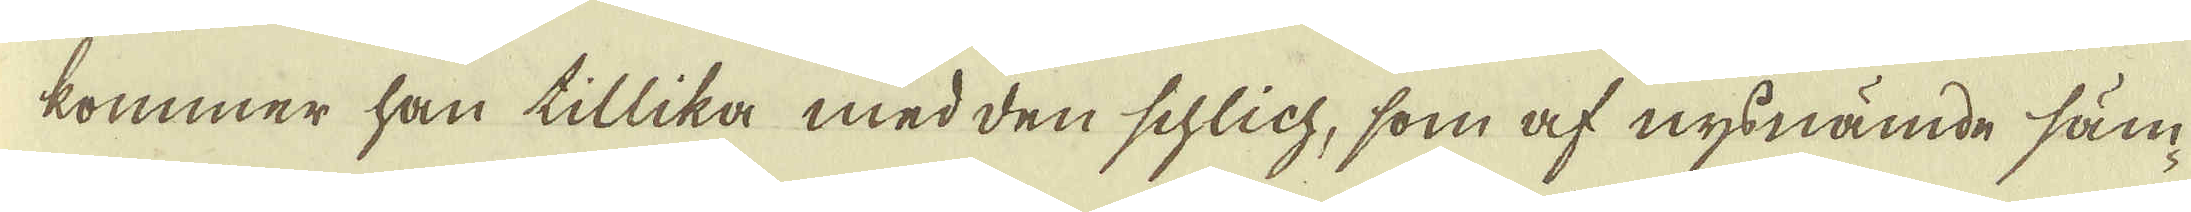kommer han tillika med den schlich, som af nys nämde säm-
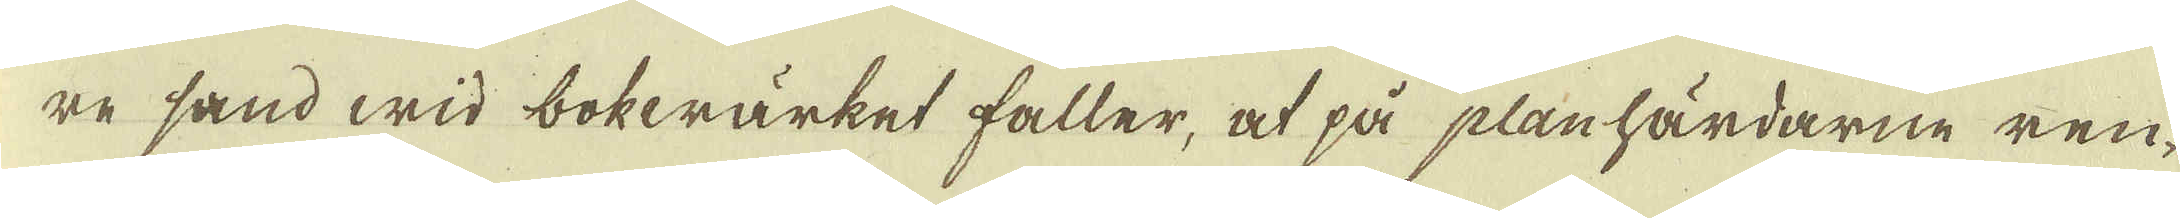re sand wid bokwärket faller, at på planhärdarne ren-
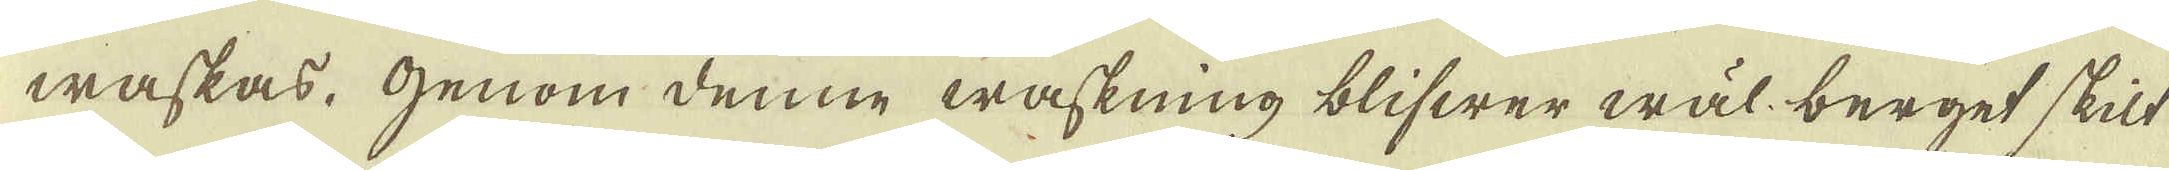waskas. Genom denne waskning blifwer wäl berget skilt
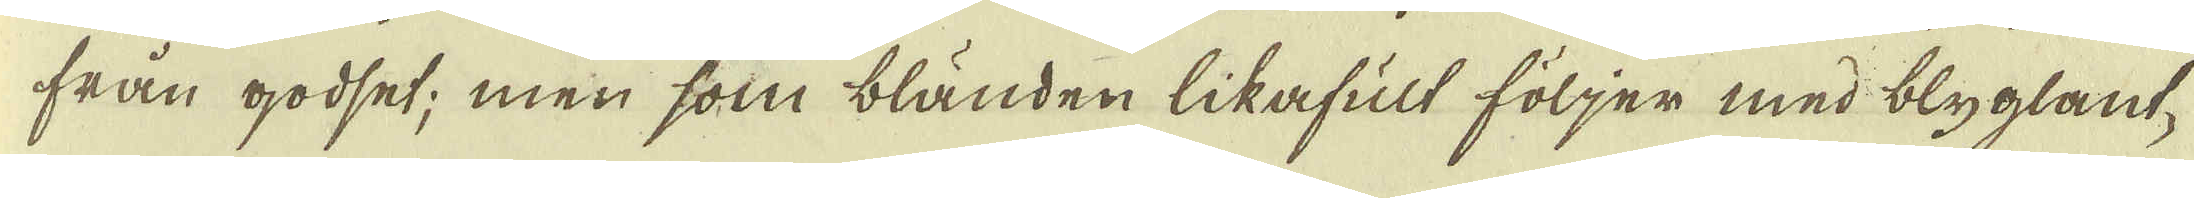från godset; men som bländen likafult följer med blyglant-
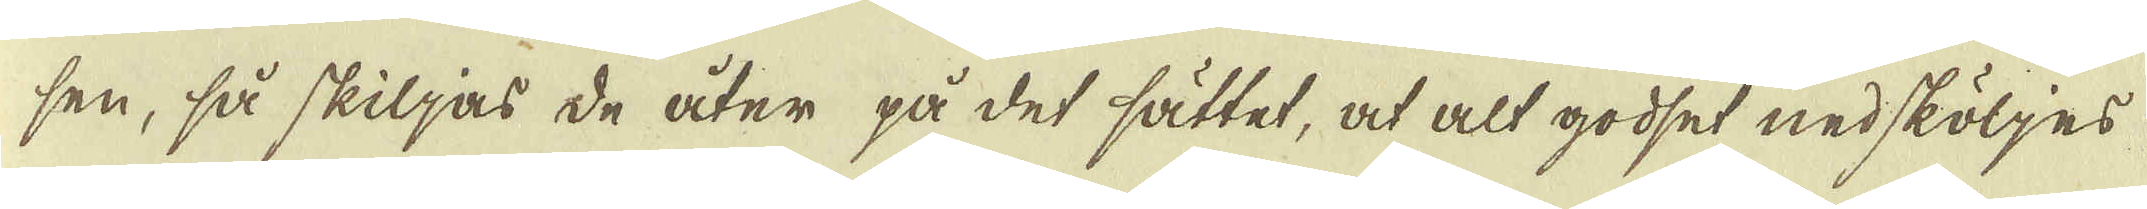sen, så skiljas de åter på det sättet, at alt godset nedsköljes
